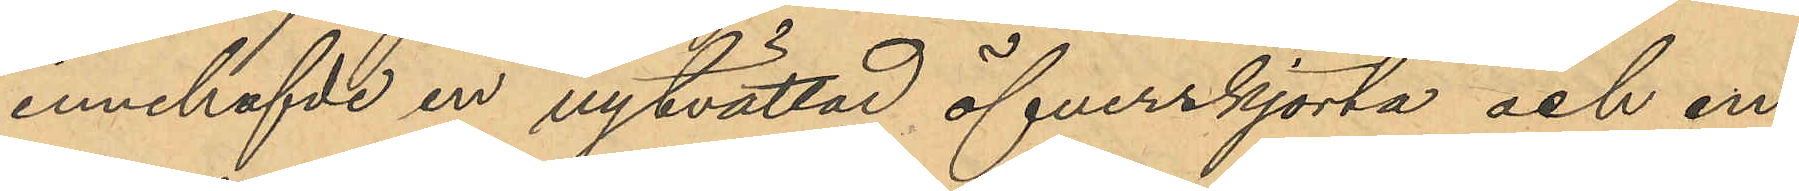innehafvde en nytvättad öfverskjorta och en
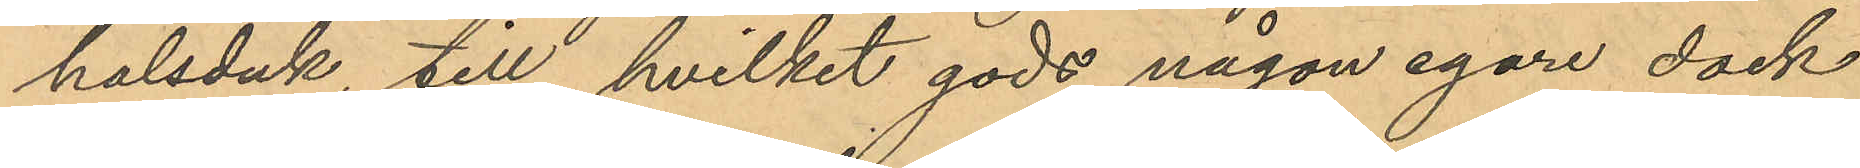halsduk, till hvilket gods någon egare dock
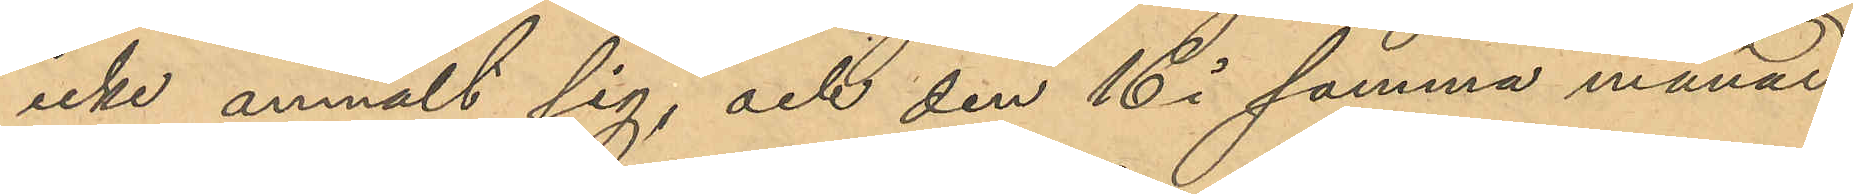icke anmält sig, och den 16 i samma månad
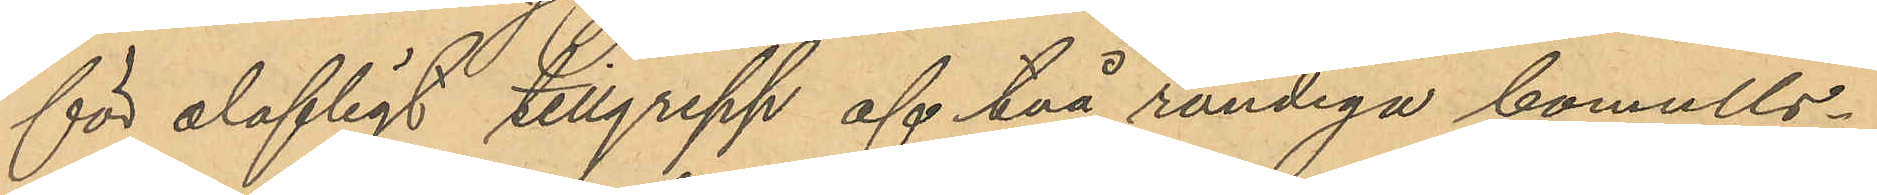för olofligt tillgrepp af två randiga bomulls¬
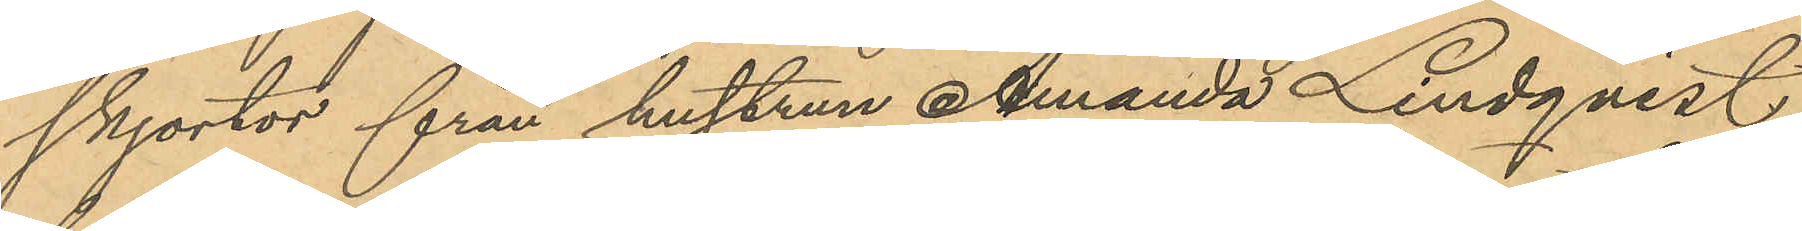skjortor från hustrun Amanda Lindqvist,
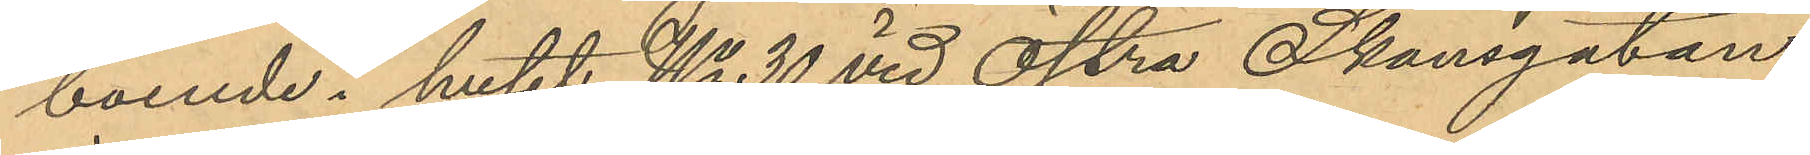boende i huset No 30 vid Östra Skansgatan,
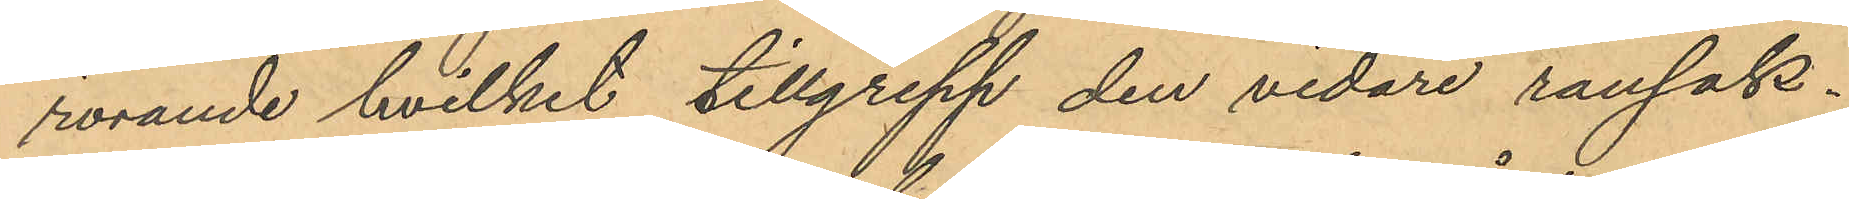rörande hvilket tillgrepp den vidare ransak¬
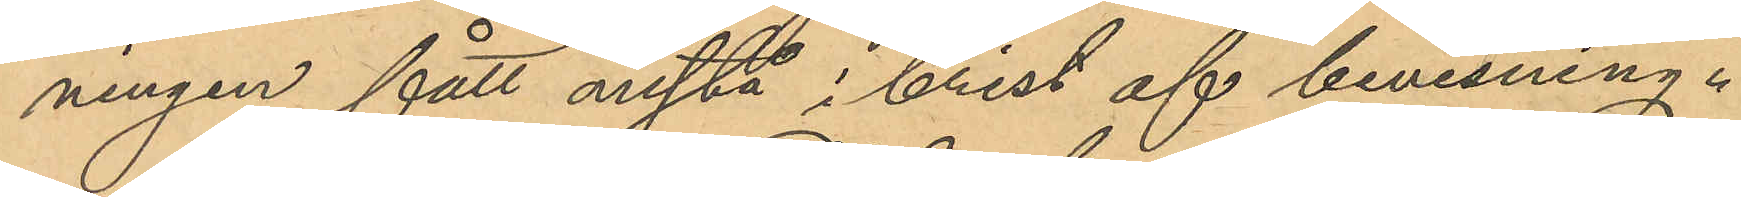ningen fått anstå i brist af bevisning.
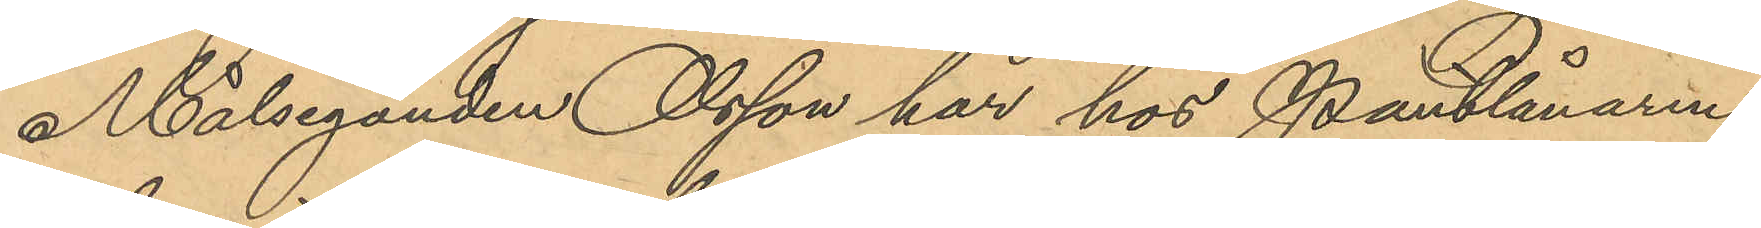Målseganden Olsson har hos Pantlånaren
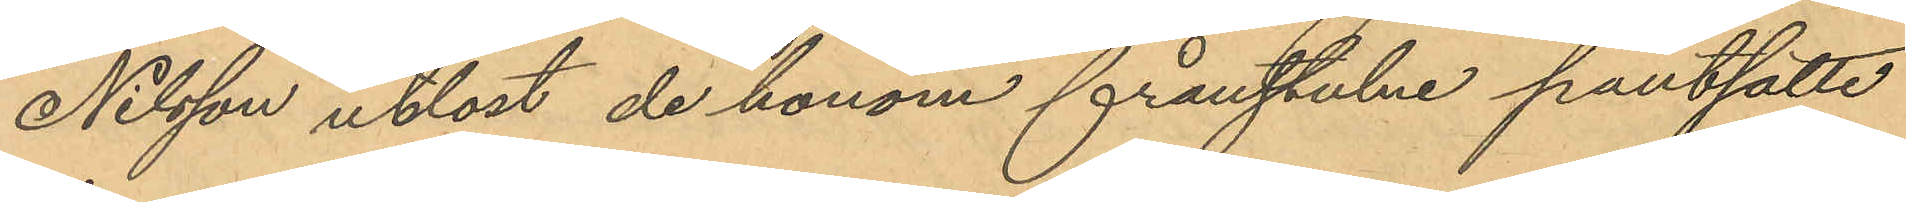Nilsson utlöst de honom frånstulne pantsatte
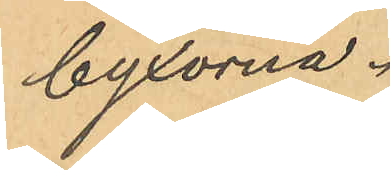byxorna.
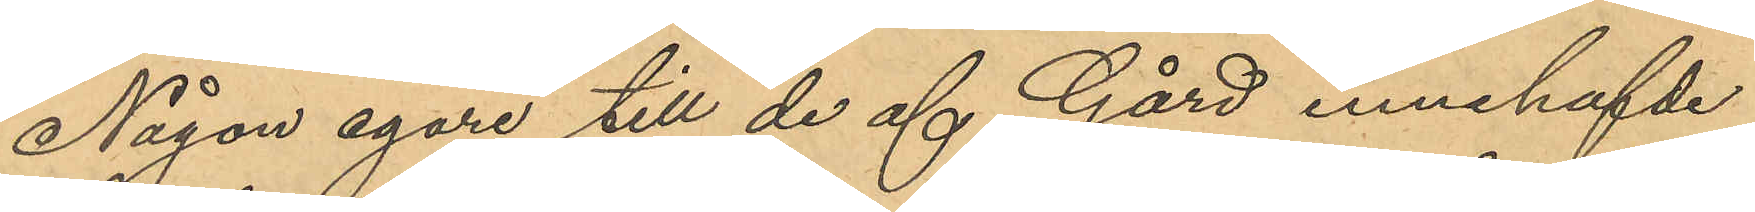Någon egare till de af Gård innehafde
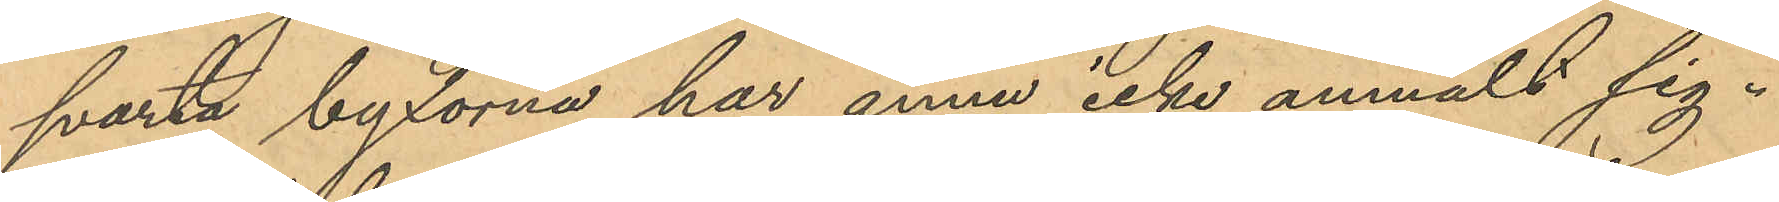svarta byxorna har ännu icke anmält sig .
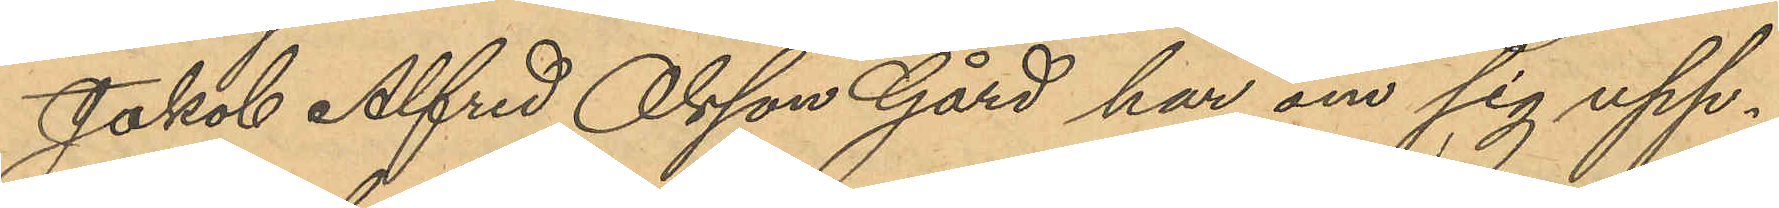Jakob Alfred Olsson Gård har om sig upp¬
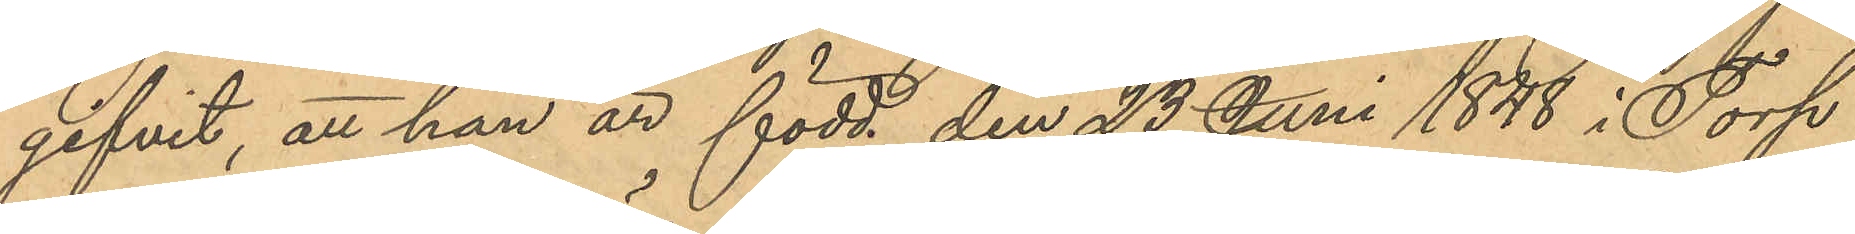gifvit, att han är född den 23 Juni 1848 i Torp
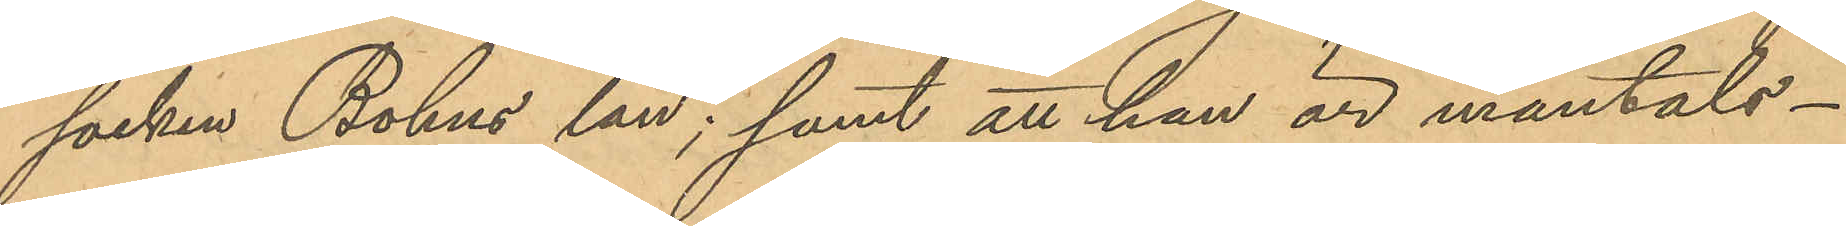socken Bohus län; samt att han är mantals¬
